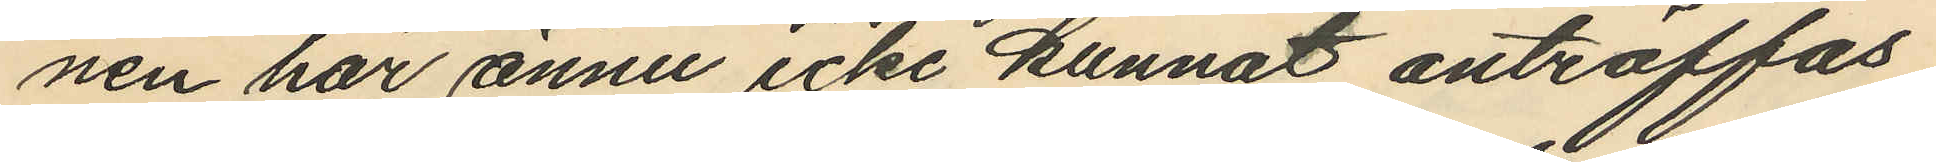nen har ännu icke kunnat anträffas
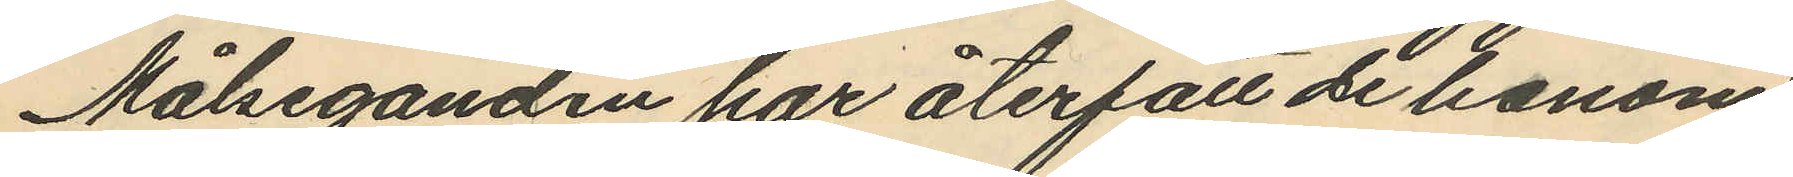Målseganden har återfått de honom
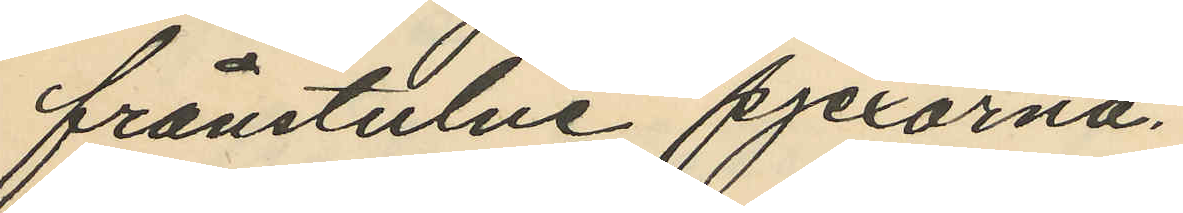frånstulne pjexorna.
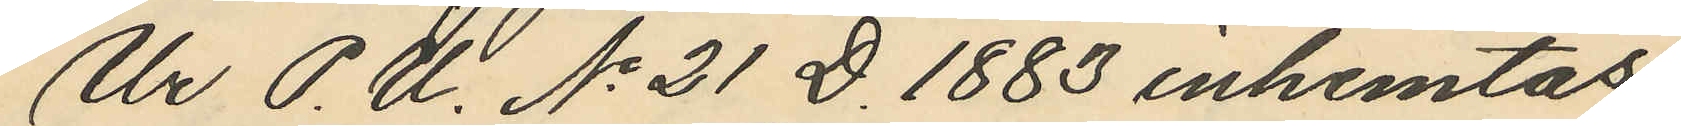Ur P.U. No 21 D. 1883 inhemtas
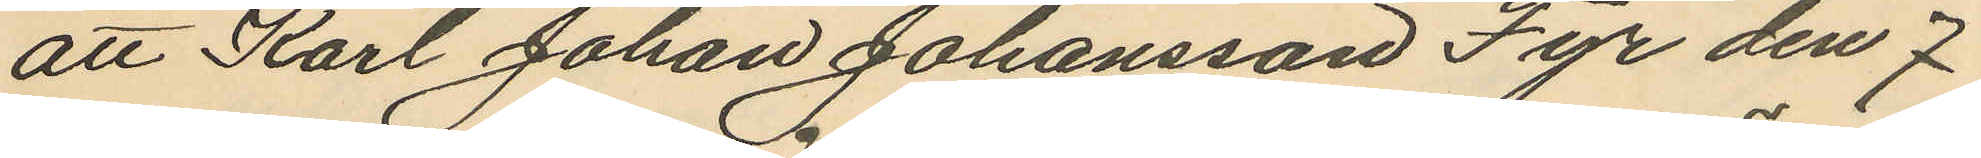att Karl Johan Johansson Fyr den 7
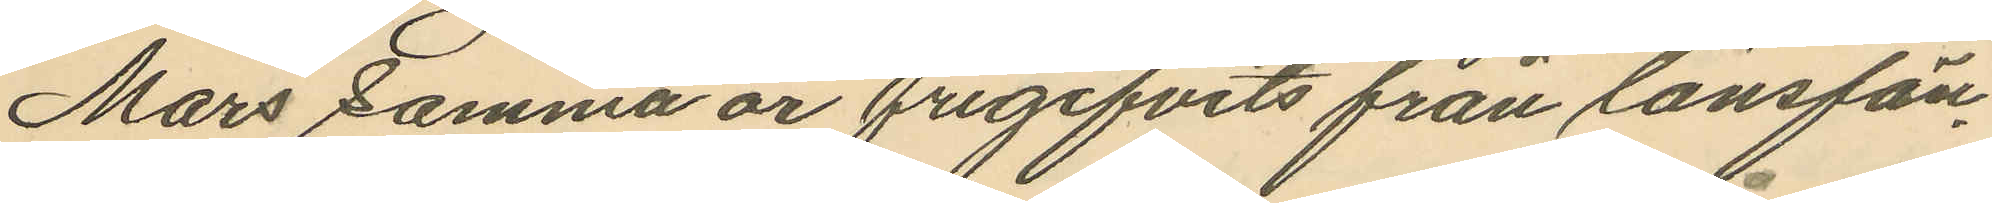Mars samma år frigifvits från länsfän¬
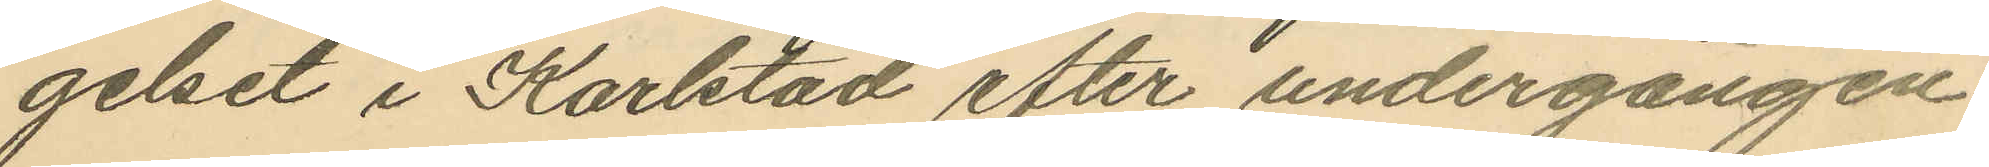gelset i Karlstad efter undergången
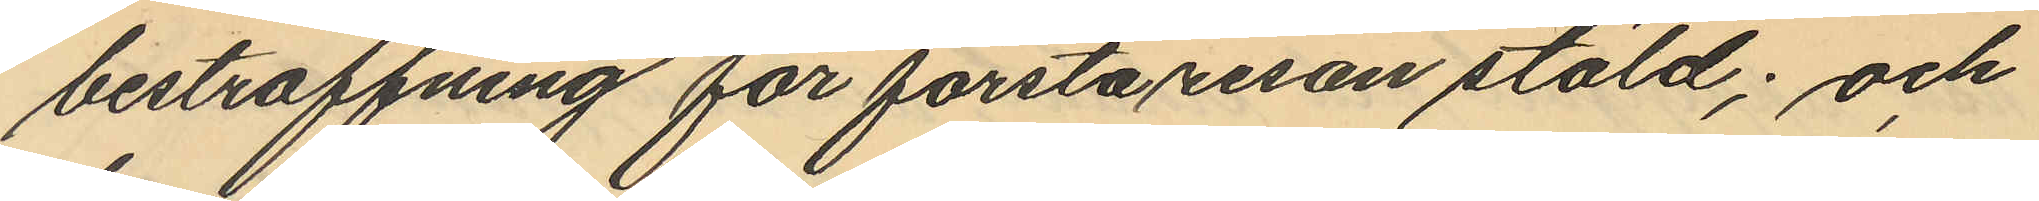bestraffning för första resan stöld; och
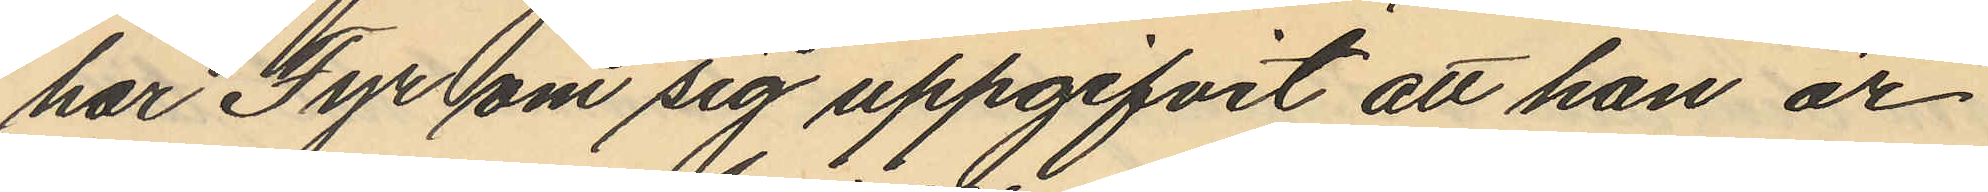har Fyr om sig uppgifvit att han är
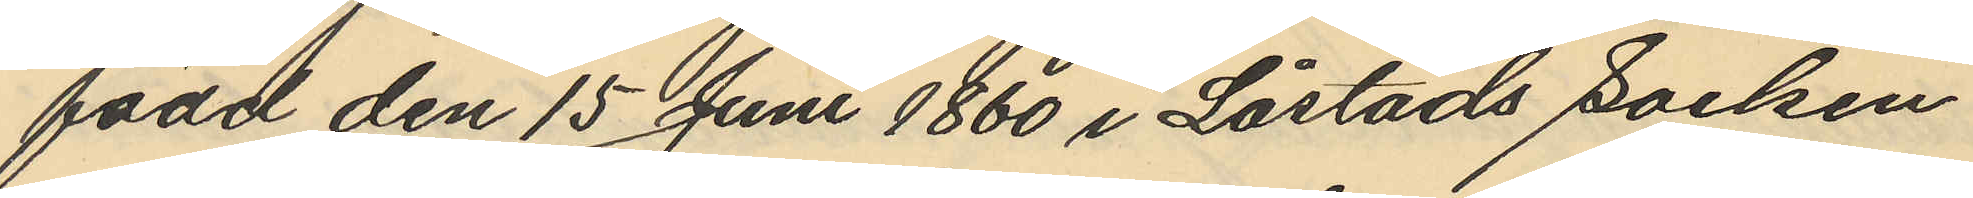född den 15 Juni 1860 i Låstads Socken
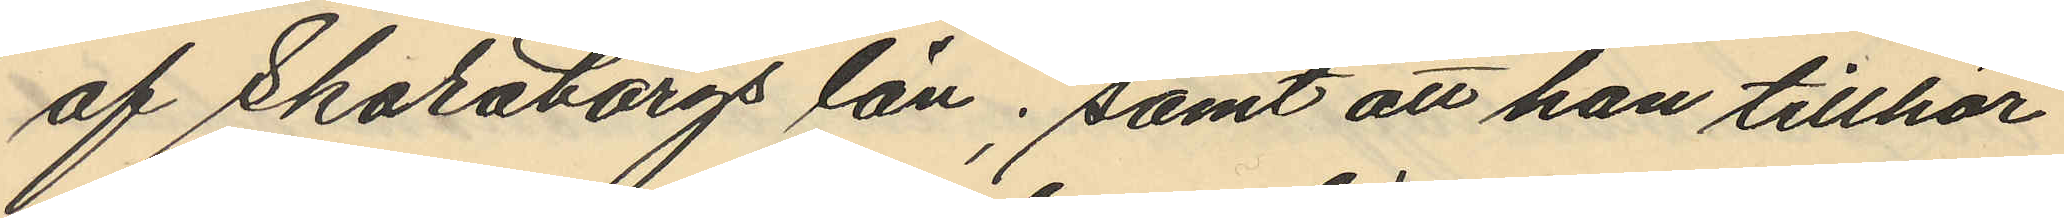af Skaraborgs län; samt att han tillhör
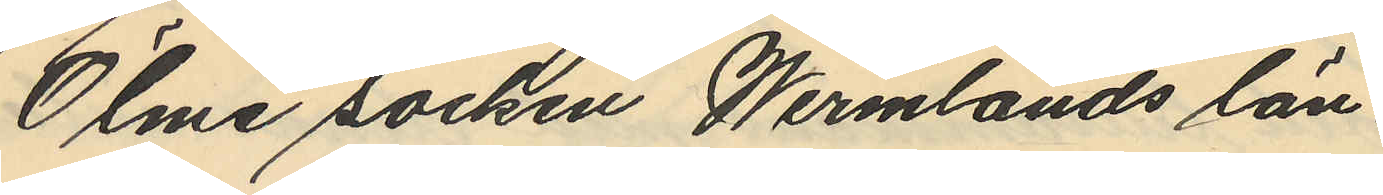Ölme socken Wermlands län
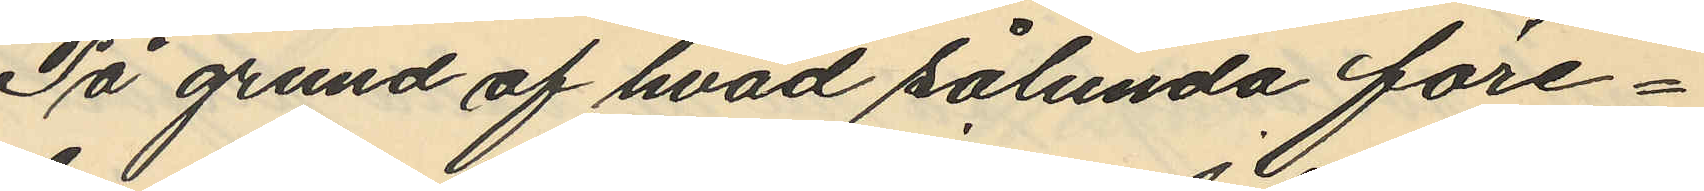På grund af hvad sålunda före¬
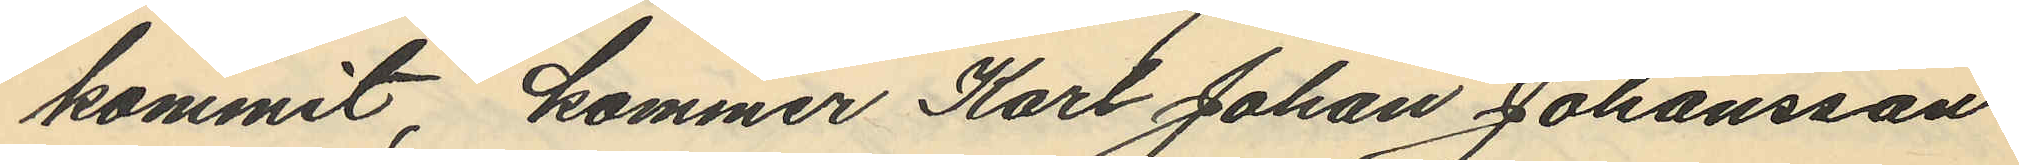kommit, kommer Karl Johan Johansson
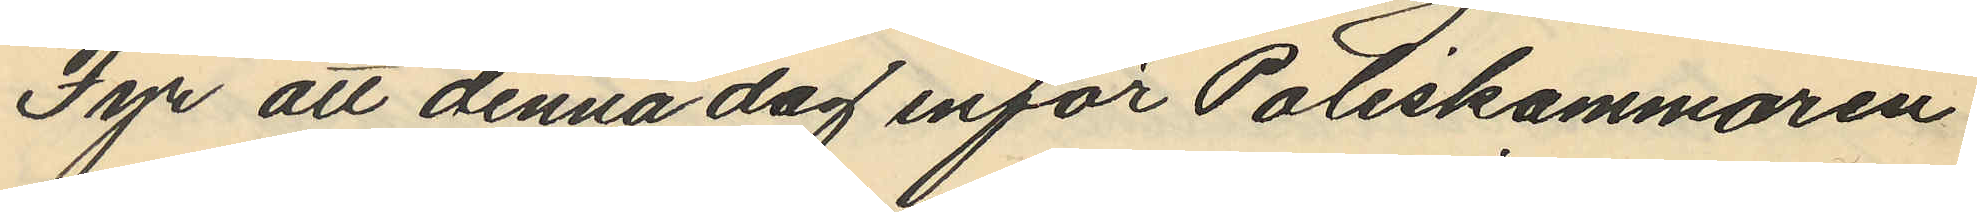Fyr att denna dag inför Poliskammaren
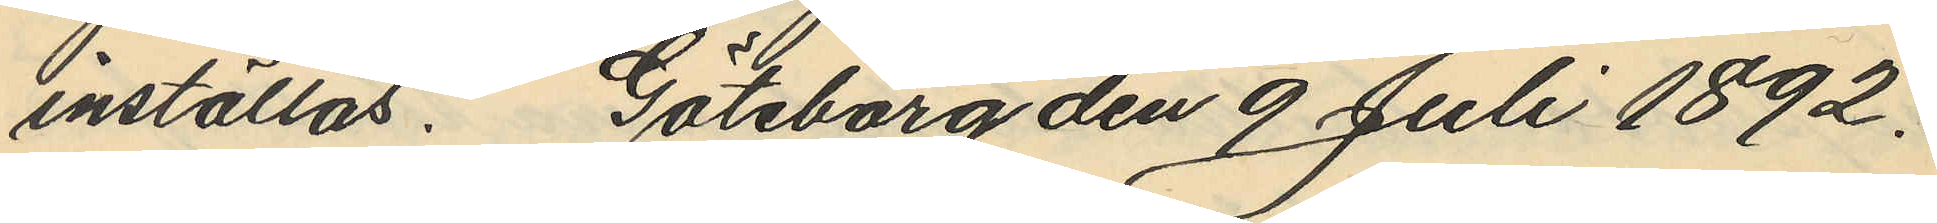inställas. Göteborg den 9 Juli 1892.
